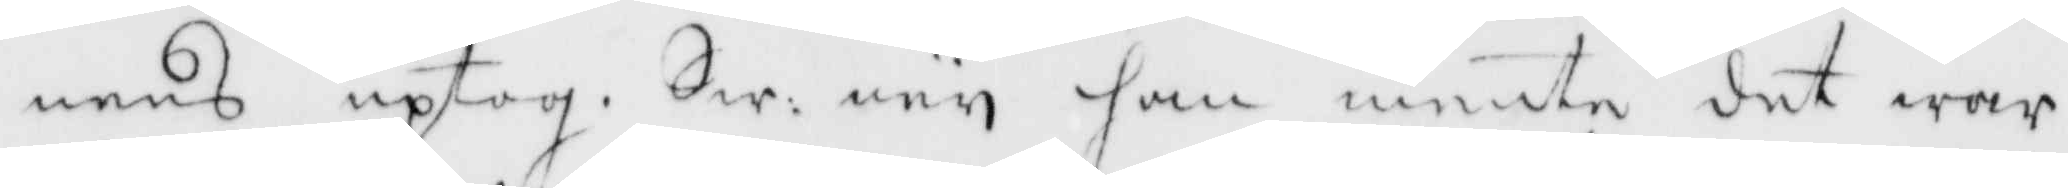nens uptog. Sw: ney han mente det wore
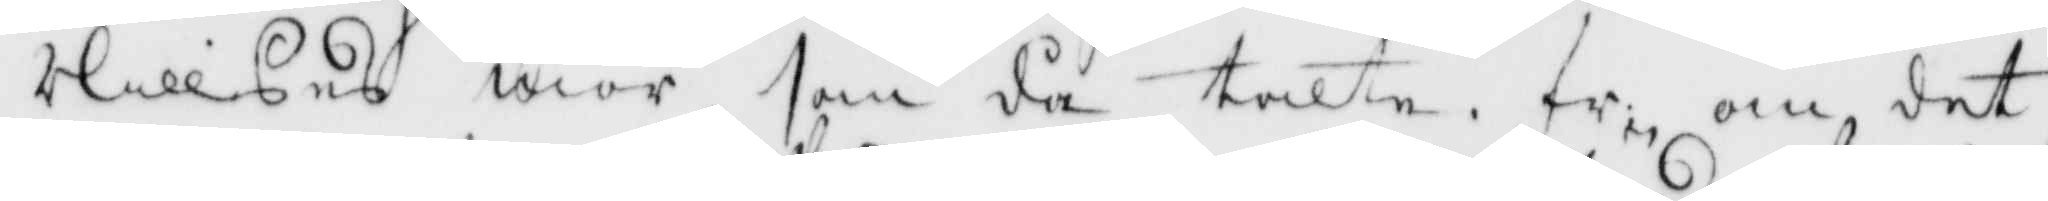Nillses mor som då talte. fr: om det
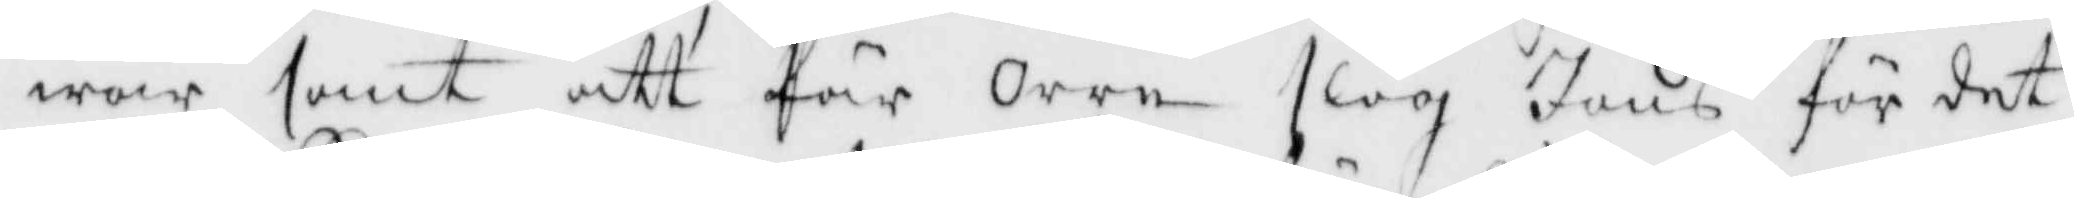war sant att Pär Orre slog Jöns för det
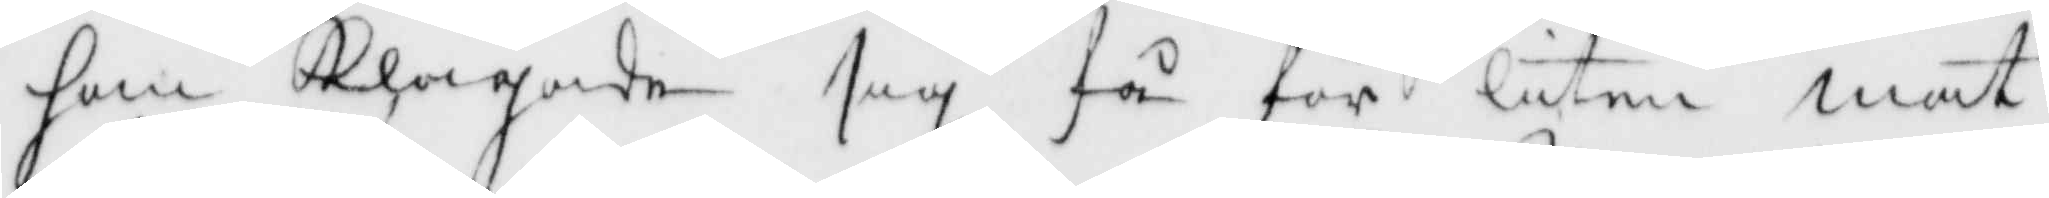han Klagade sig få för liten mat
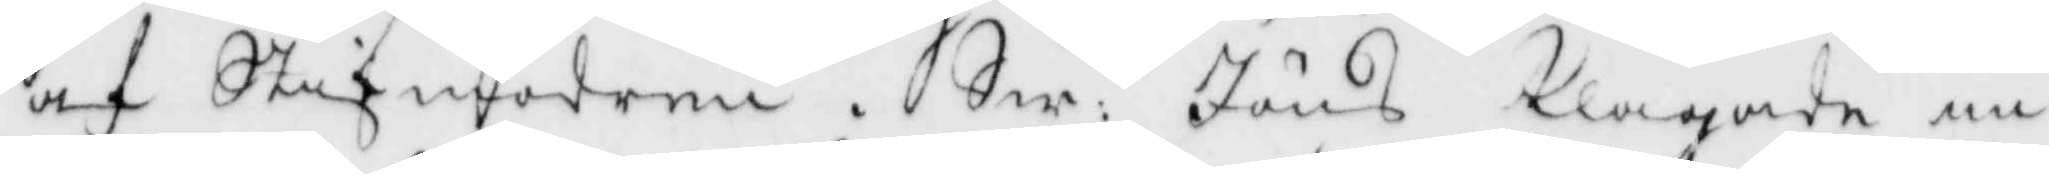af Stifmodren. Sw: Jöns Klagade in¬
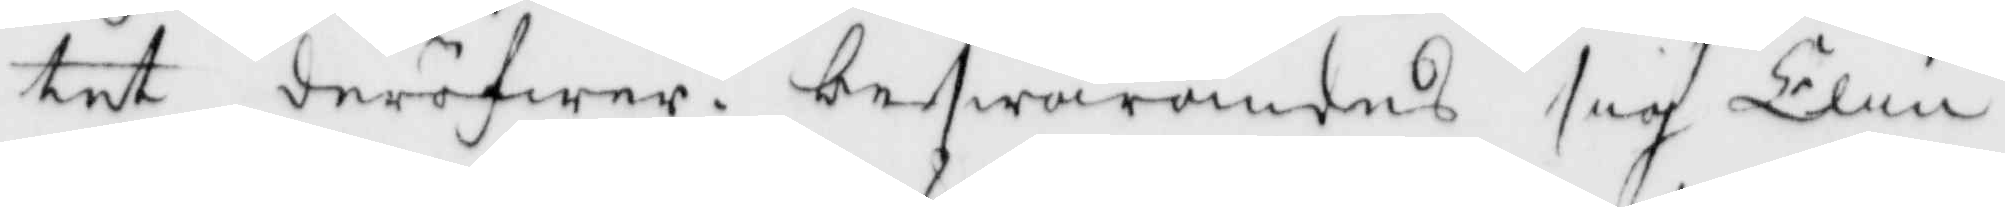tet deröfwer, beswärandes sig Elin
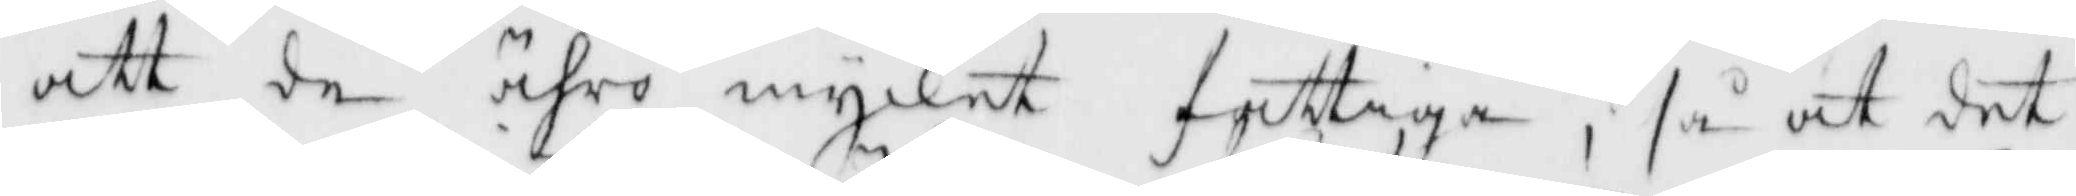att de ähro mycket fattiga, så at det
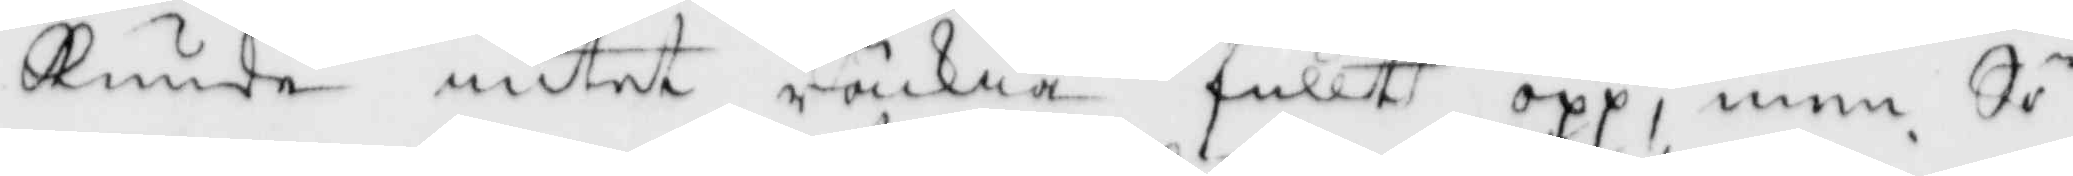kunde intet räckia fullt opp, men Sö¬
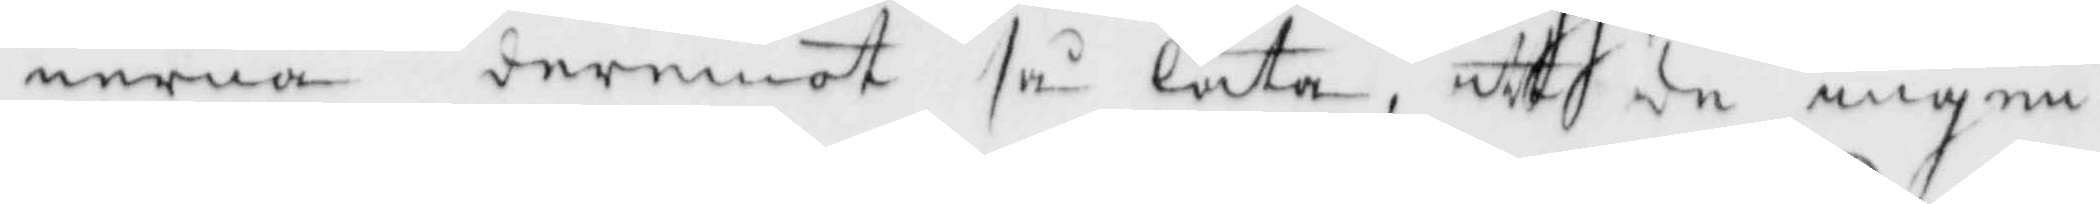nerne deremot så lata, att de ingen¬
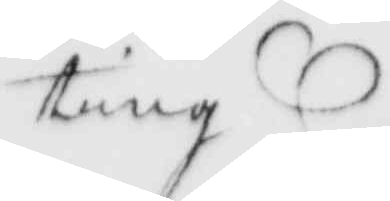ting
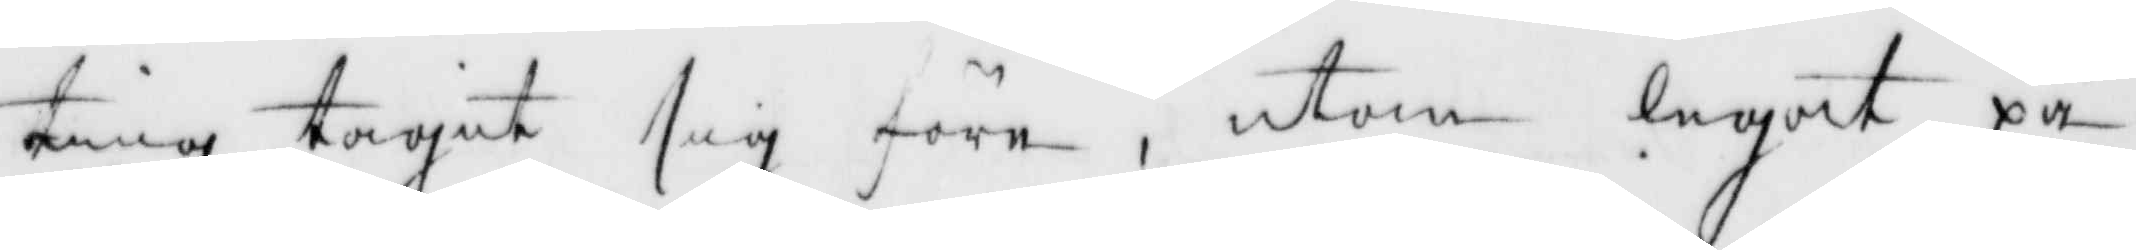ting tagit sig före, utom legat på
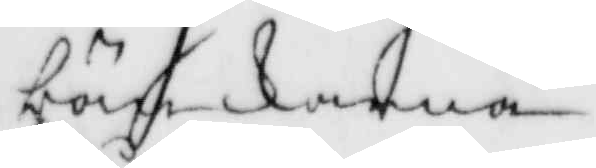bänkarna.
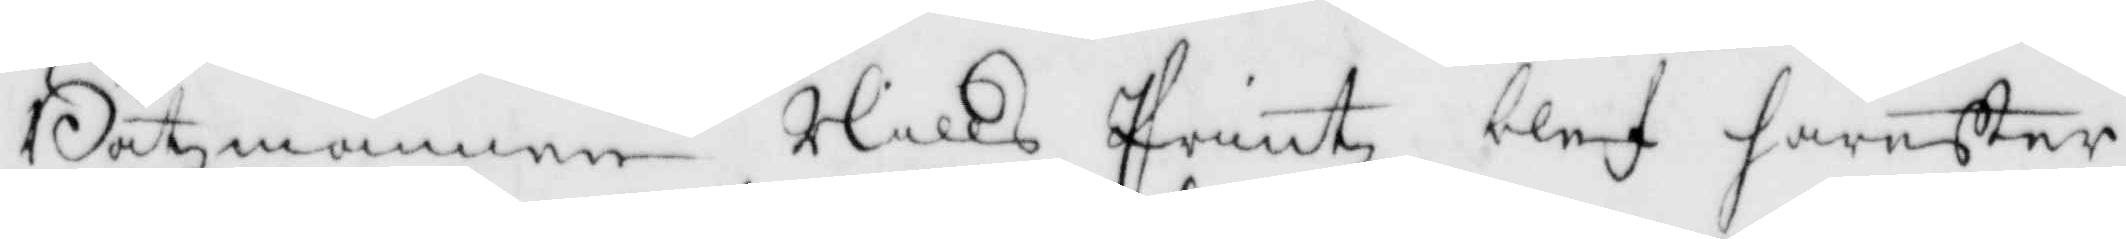Båtsmannen Nills Printz blef härefter
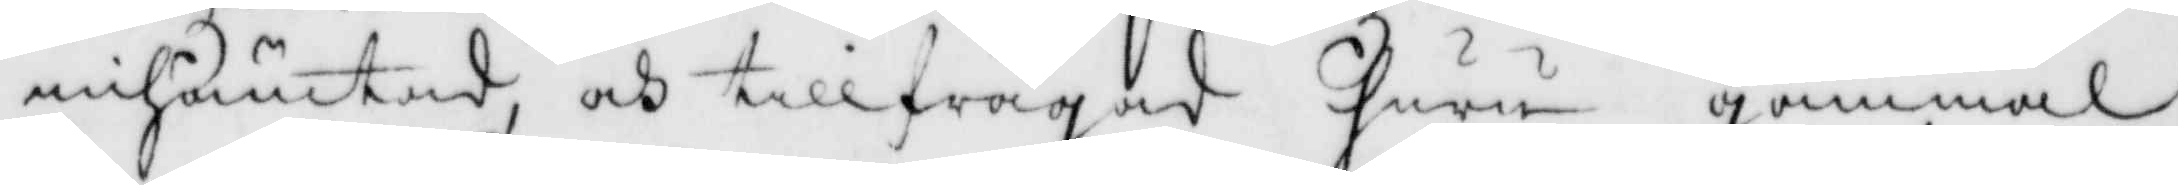inhämtad och tillfrågad huru gamma
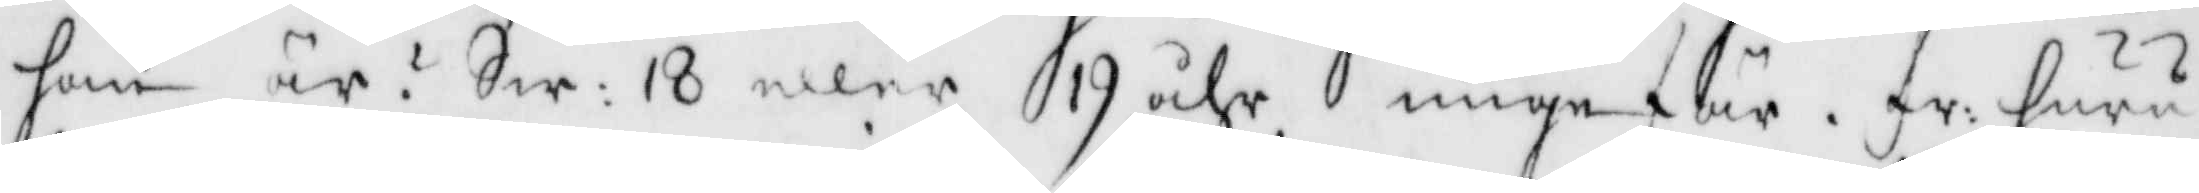han är? Sw: 18 eller 19 åhr ungefär. fr: huru
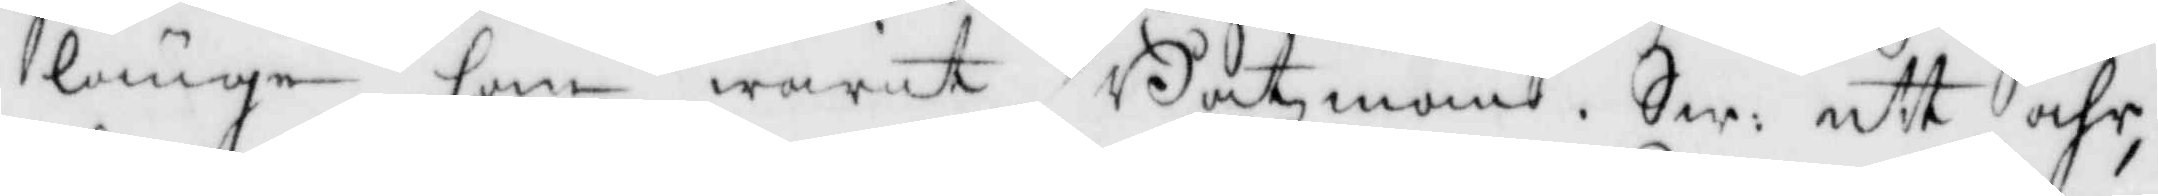länge han warit Båtsman. Sw: ett åhr,
